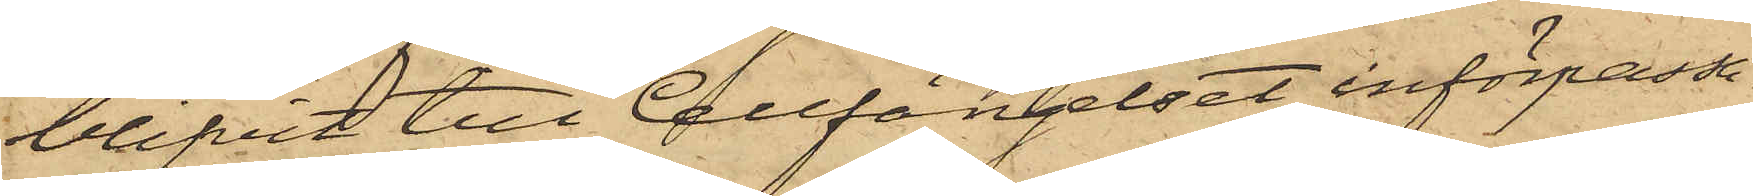blifvit till Cellfängelset införpassa¬
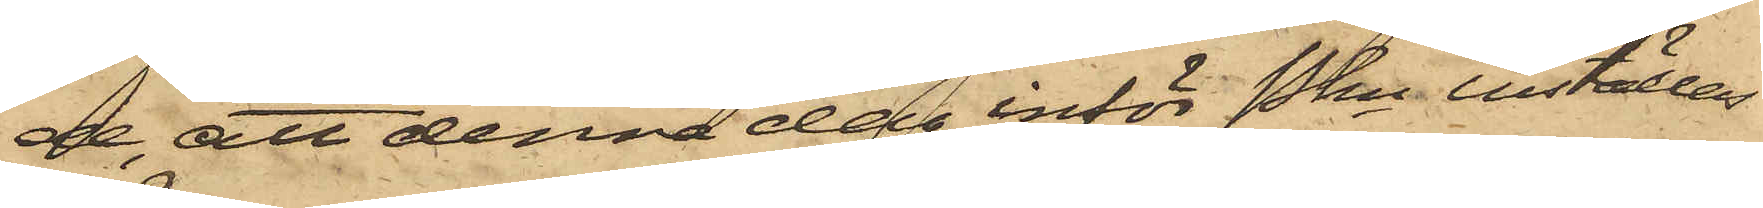de, att denna dag inför Pkn inställas.
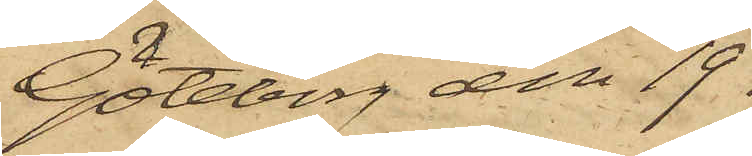Göteborg den 19
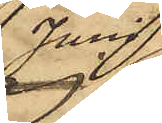Juni
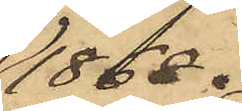1868.
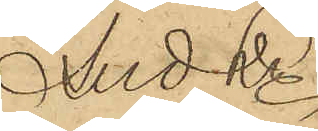And Ln
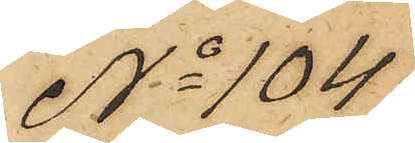No 104
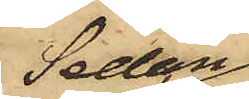Sedan
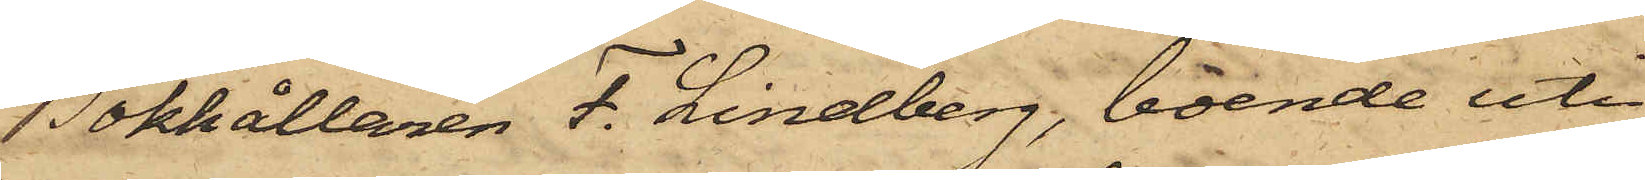Bokhållaren F. Lindberg, boende uti
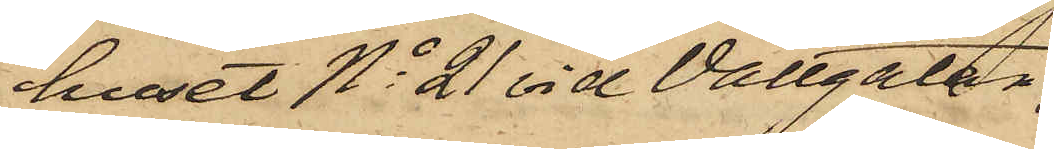huset No 21 vid Vallgatan,
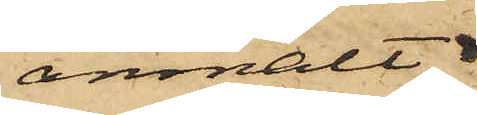anmält
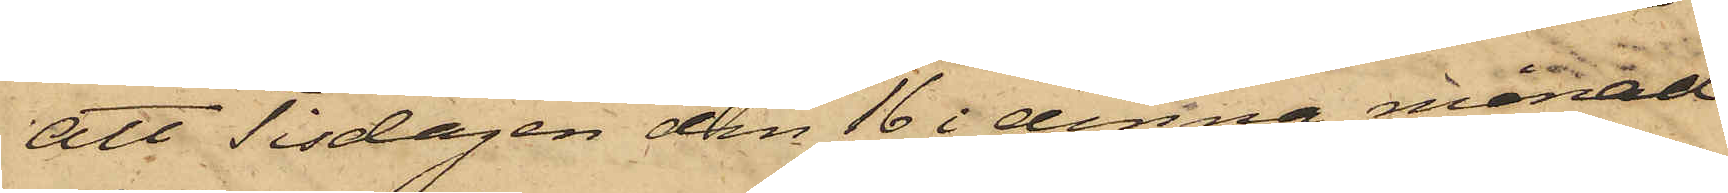att Tisdagen den 16 i denna månad
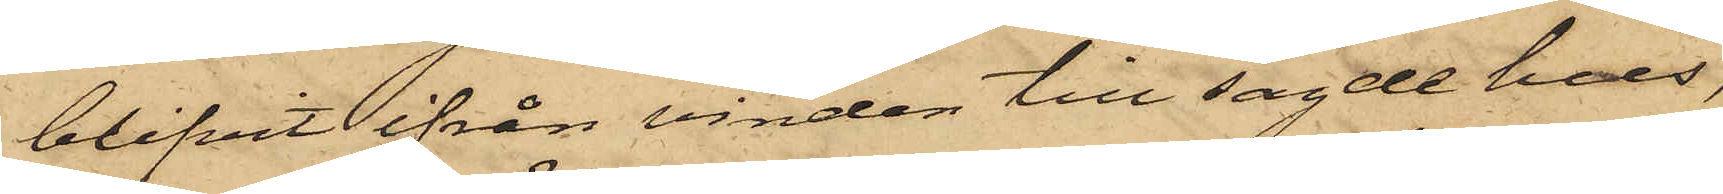blifvit ifrån vinden till sagde hus,
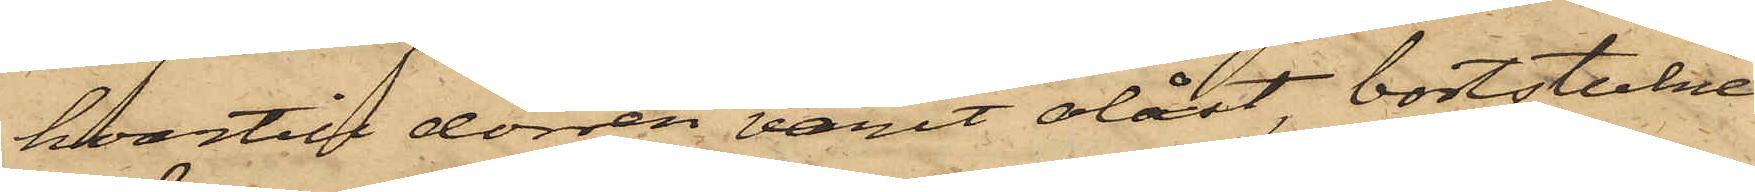hvartill dörren varit olåst, bortstulne
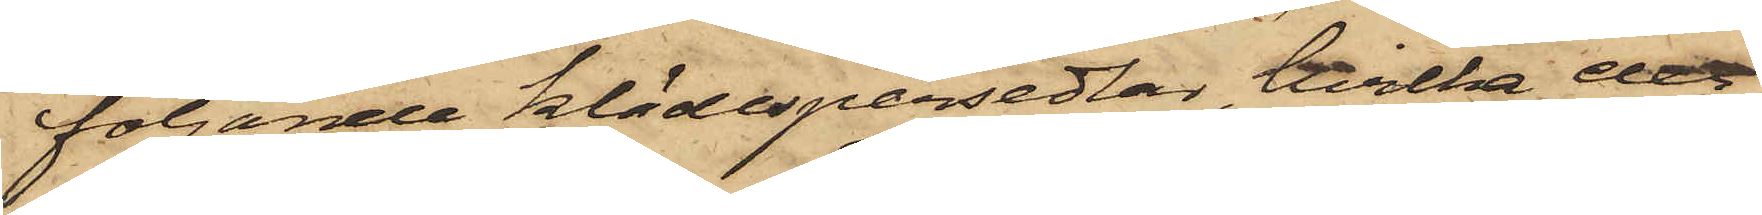följande klädespersedlar, hvilka der¬
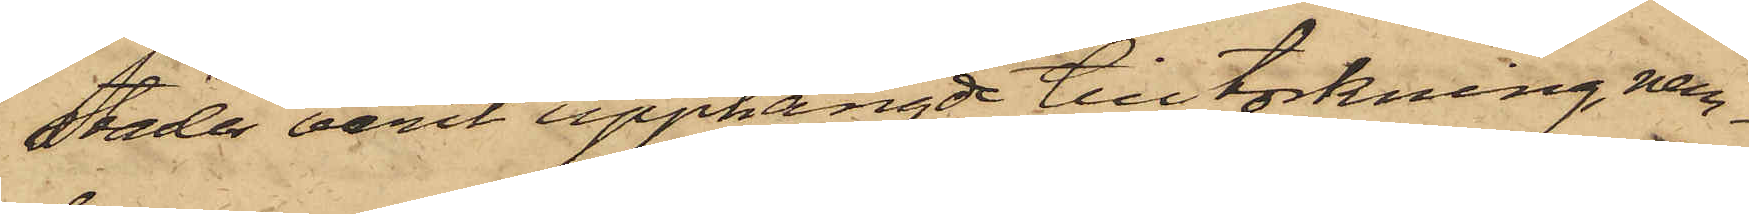städes varit upphängde till torkning, nem¬
